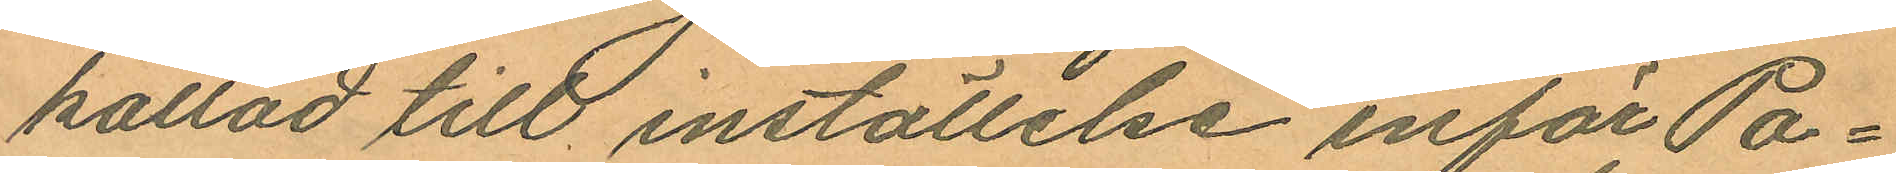kallad till inställelse inför Po¬
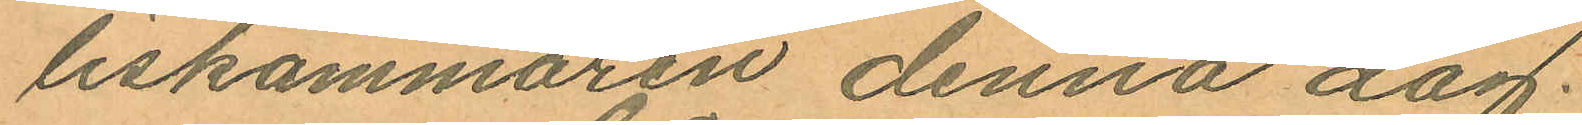liskammaren denna dag.
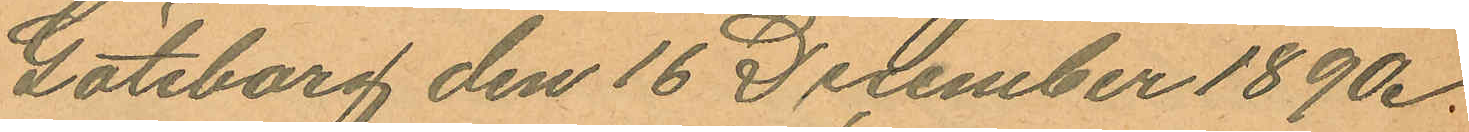Göteborg den 16 December 1890.
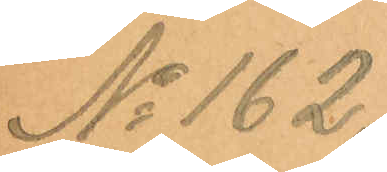No 162.
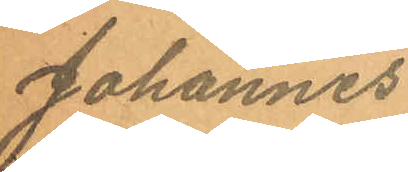Johannes
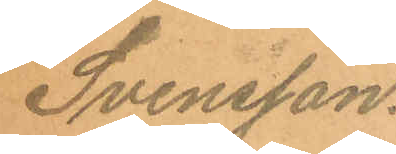Svensson.
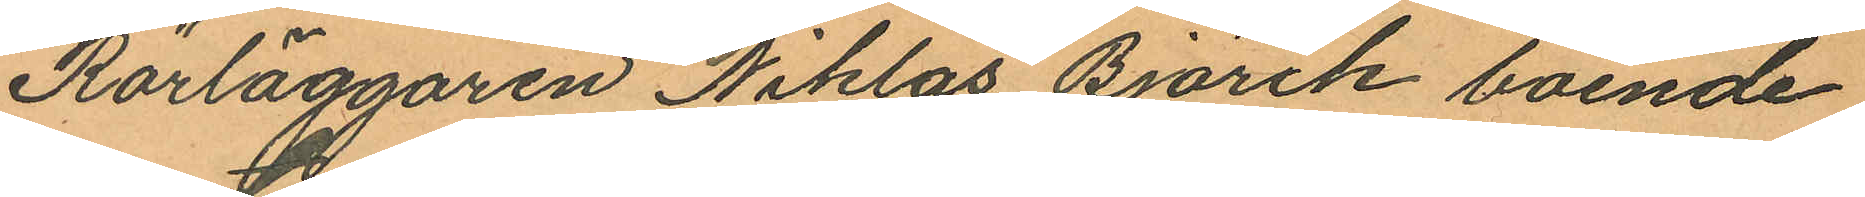Rörläggaren Niklas Björck boende
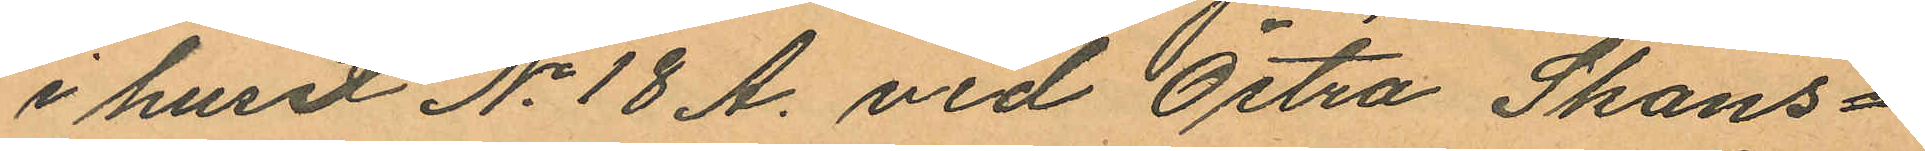i huset No 18 A. vid Östra Skans¬
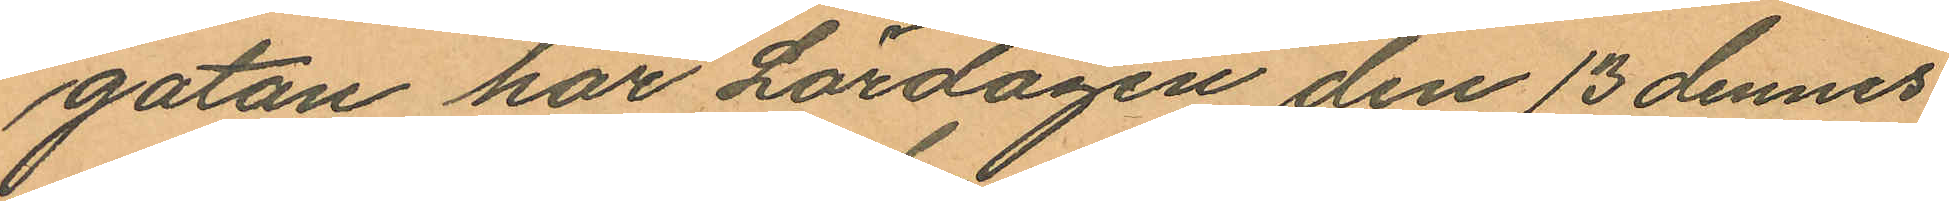gatan har Lördagen den 13 dennes
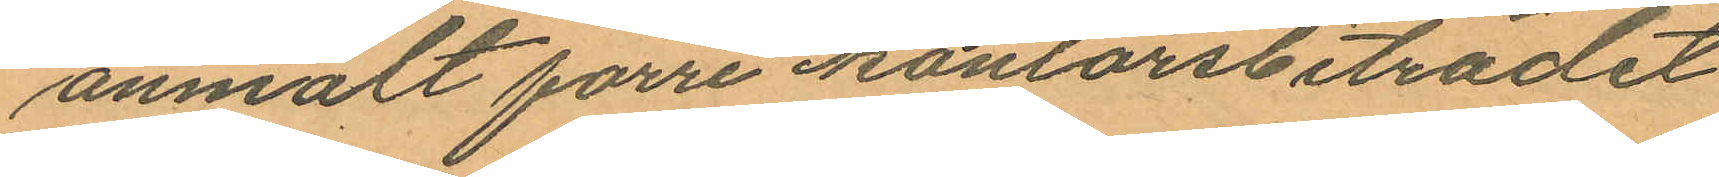anmält förre kontorsbiträdet
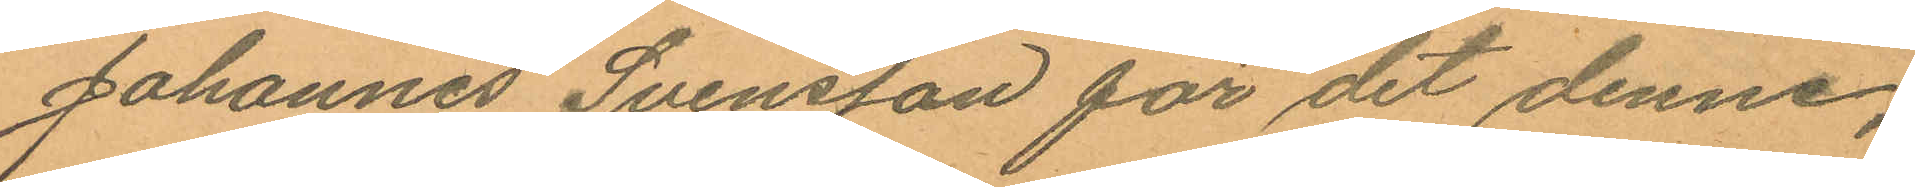Johannes Svensson för det denne,
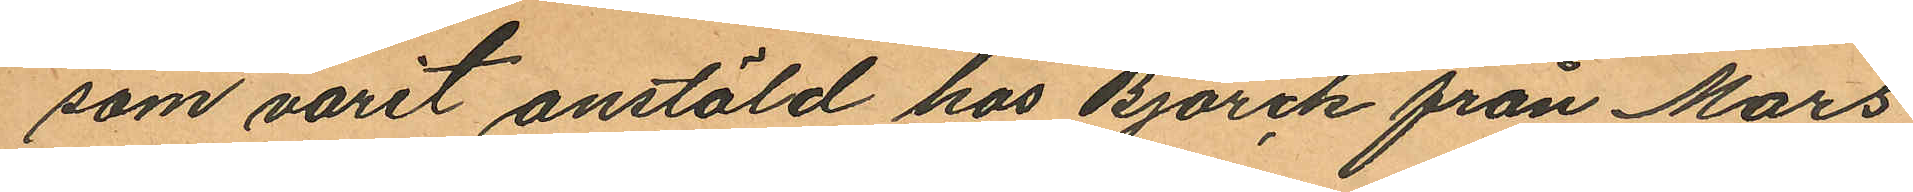som varit anstäld hos Björck från Mars
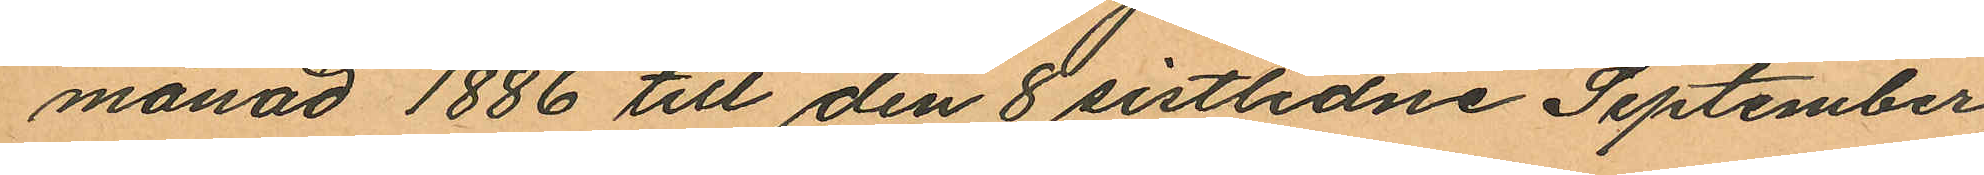månad 1886 till den 8 sistlidne September,
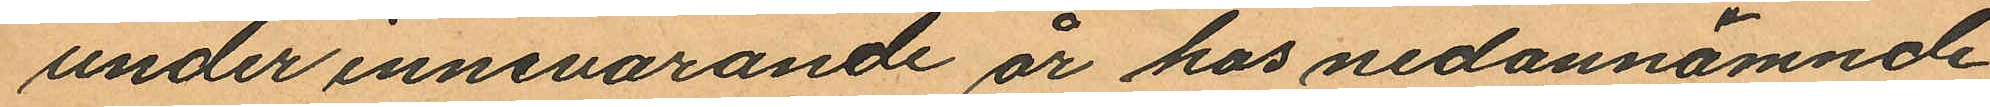under innevarande år hos nedannämnde
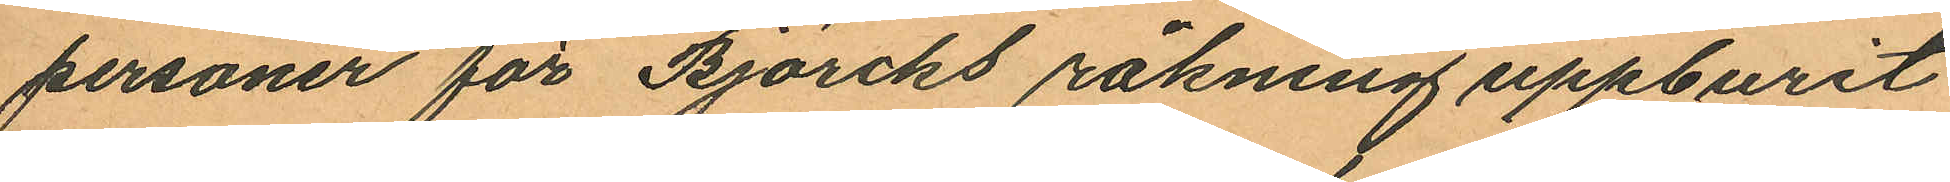personer för Björcks räkning uppburit
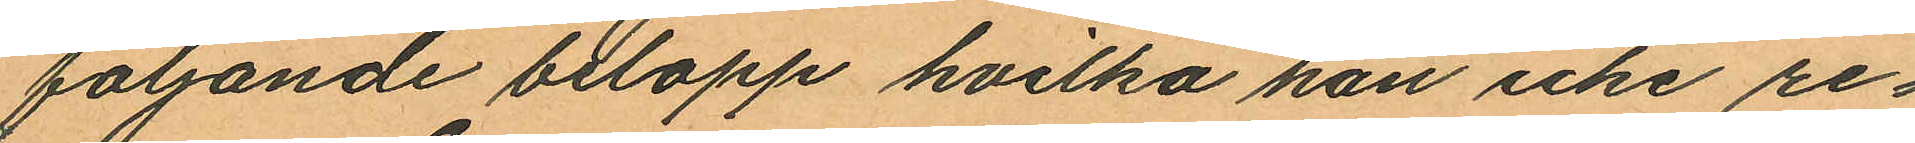följande belopp hvilka han icke re¬
